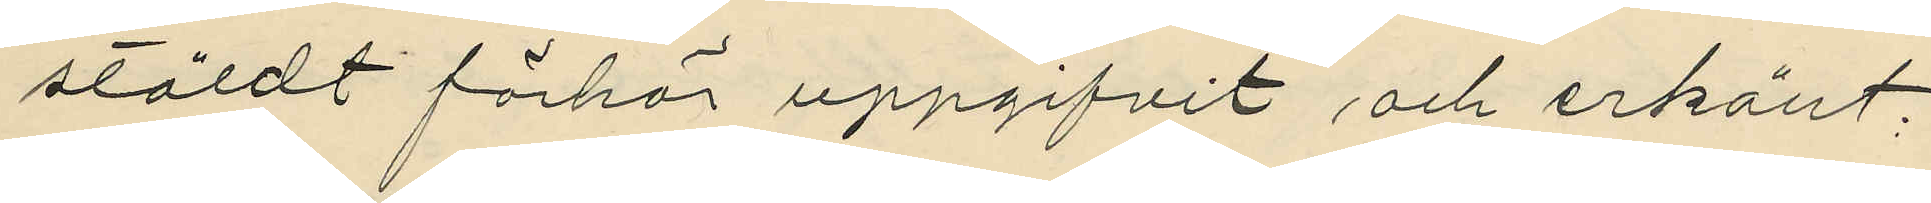stäldt förhör uppgifvit och erkänt:
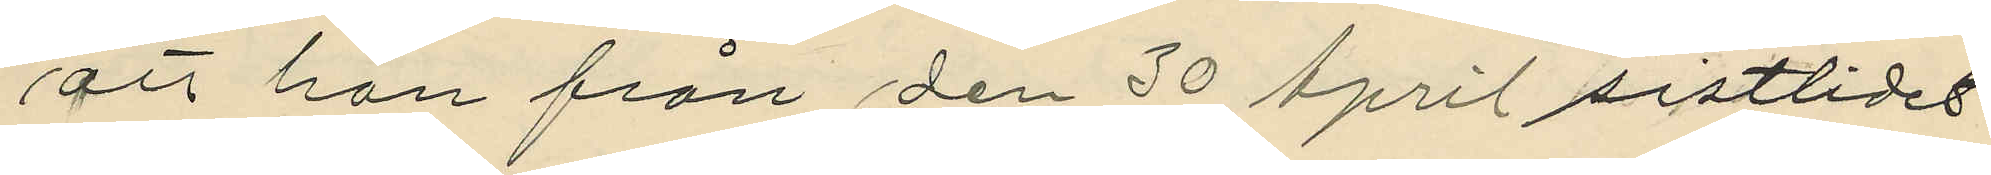att han från den 30 April sistlidet
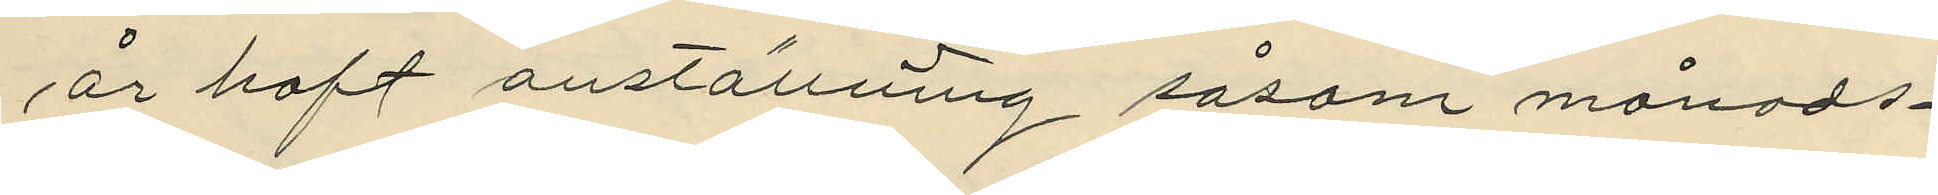år haft anställning såsom månads¬
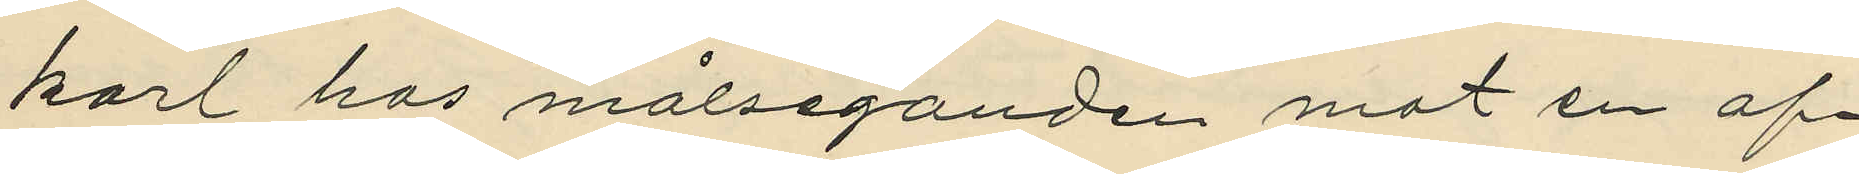karl hos målseganden mot en af¬
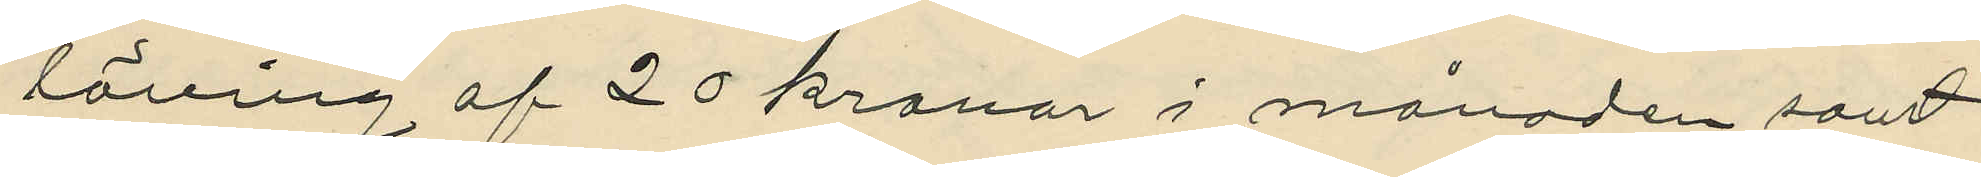löning af 20 kronor i månaden samt
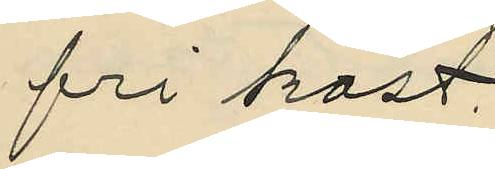fri kost.
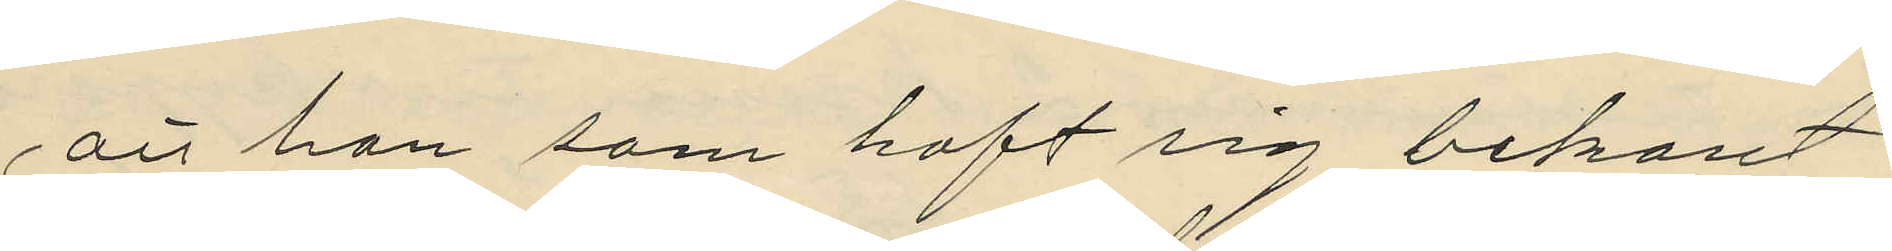att han som haft sig bekant
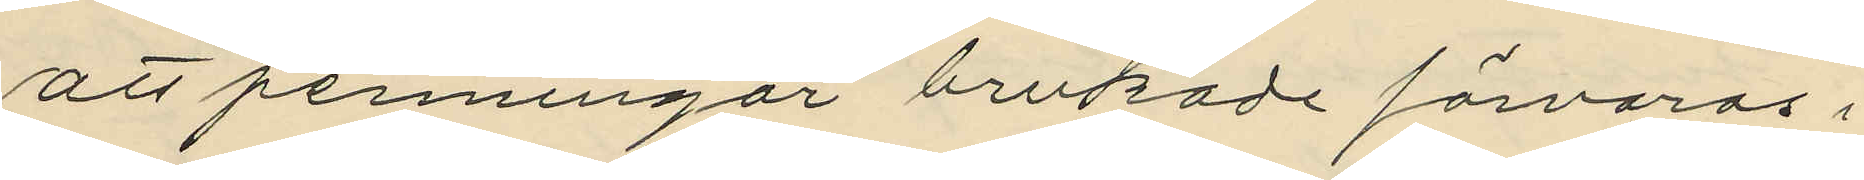att penningar brukade förvaras i
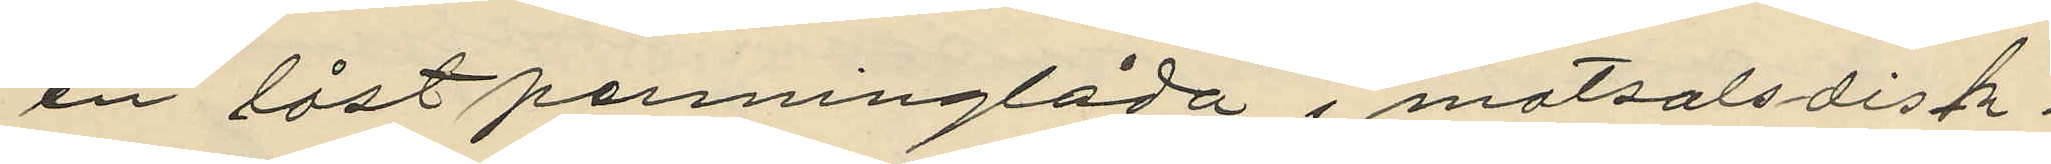en låst penninglåda i matsalsdisk¬
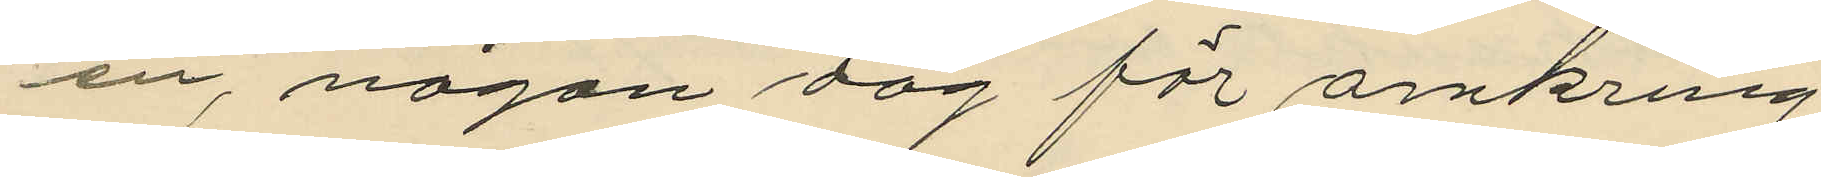en, någon dag för omkring
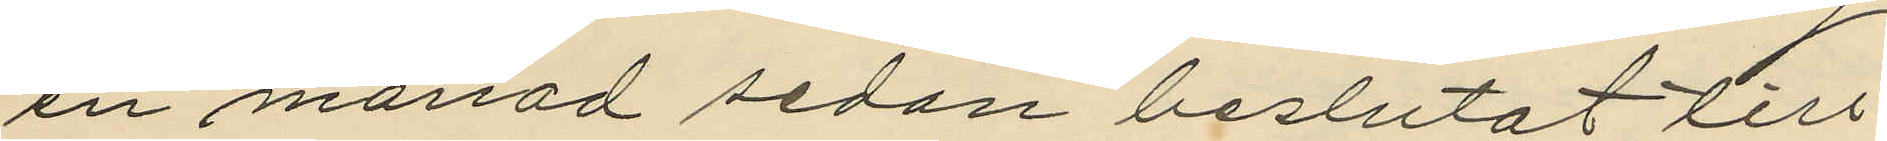en månad sedan beslutat till¬
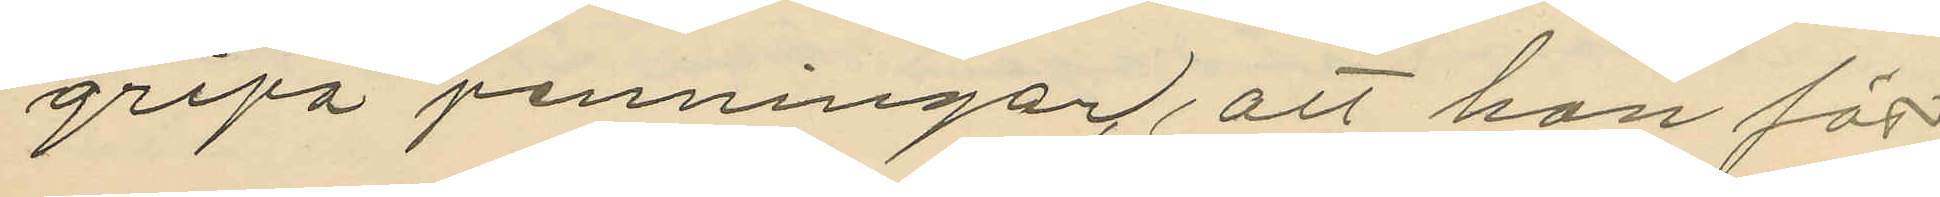gripa penningar, att han för¬
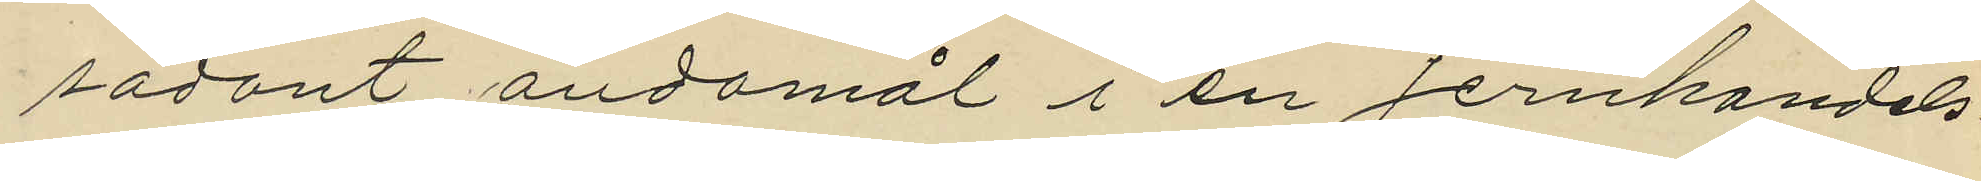sådant ändamål i en Jernhandels¬
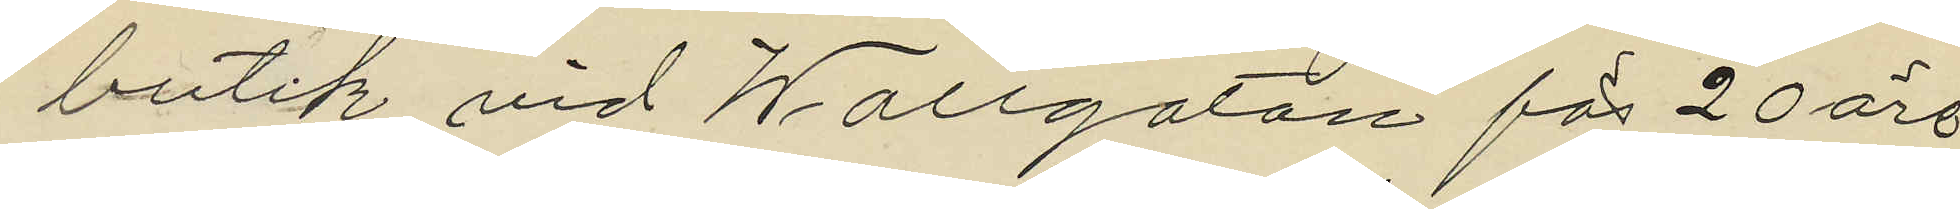butik vid Wallgatan för 20 öre
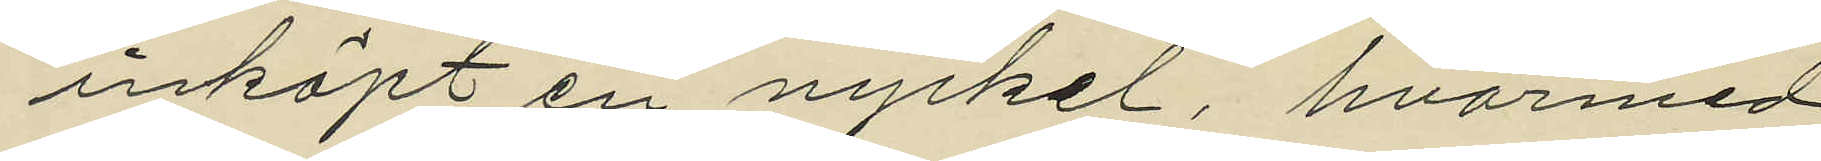inköpt en nyckel, hvarmed
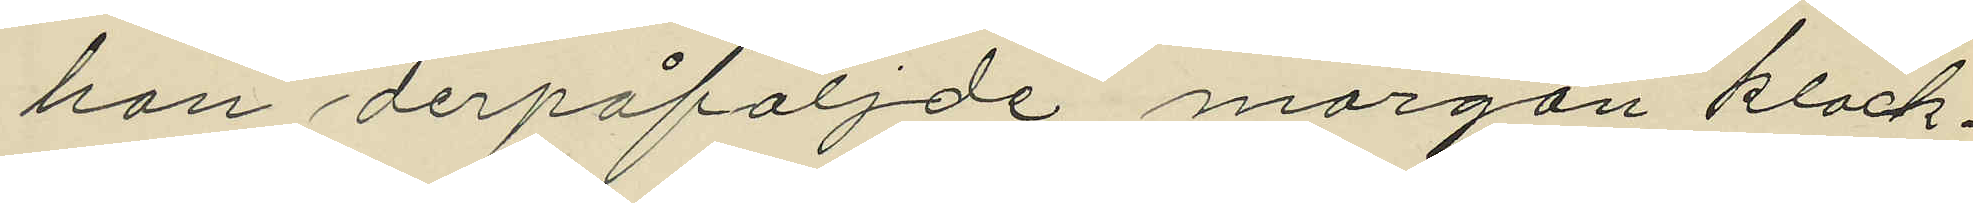han derpåföljde morgon klock¬
